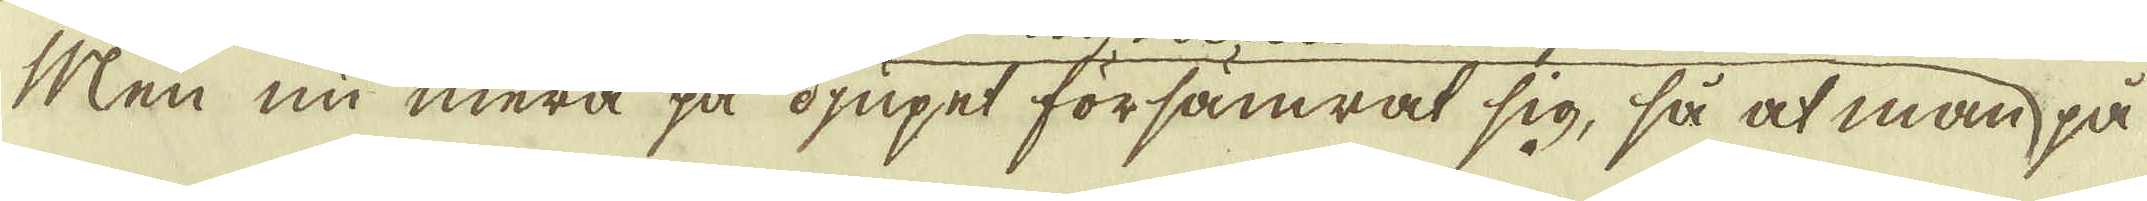Men nu mera på djupet försämrat sig, så at man på
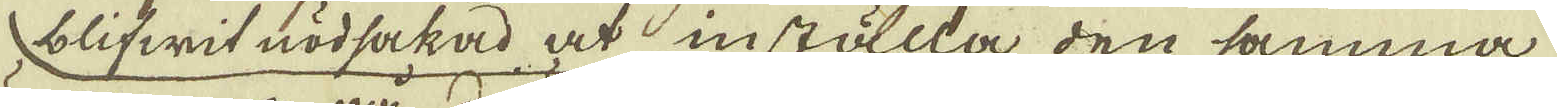blifwit nödsakad at inställla den samma
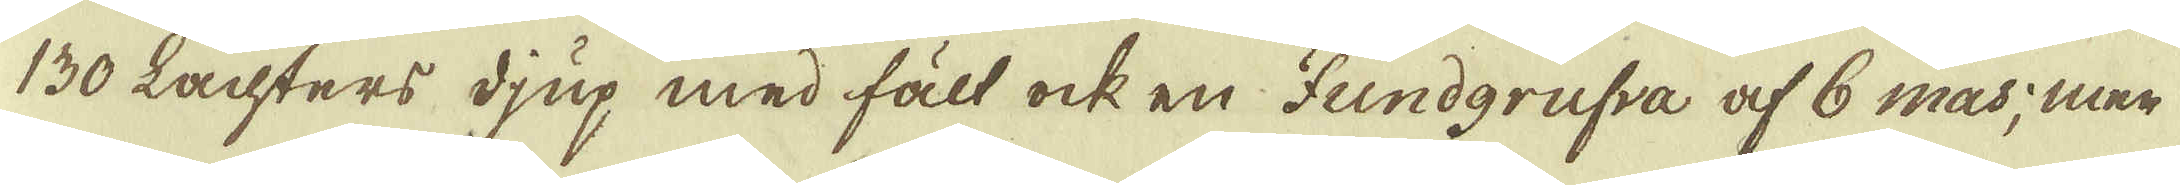130 Lachters djup med fält ock en Fundgrufva af 6 mas; men
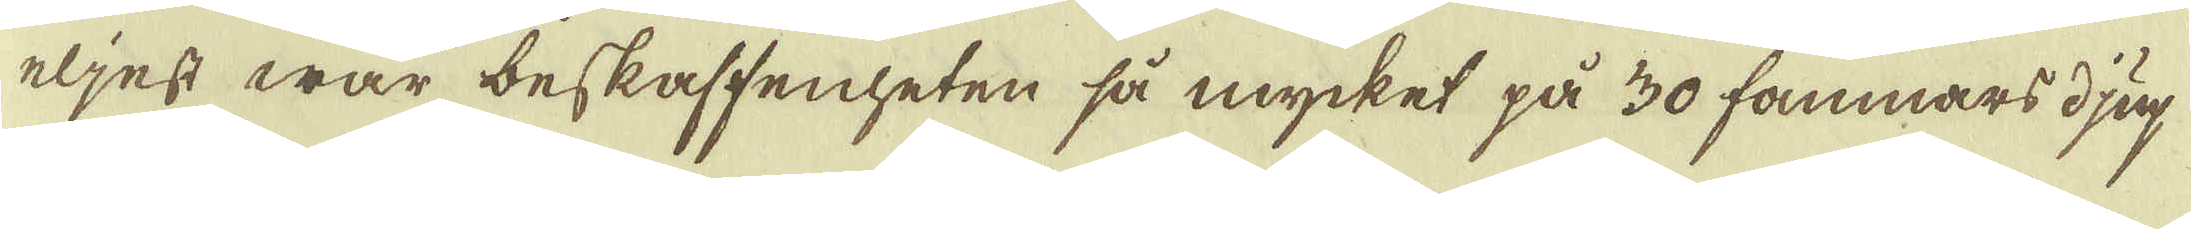eljest war beskaffenheten så mycket på 30 famnars djup
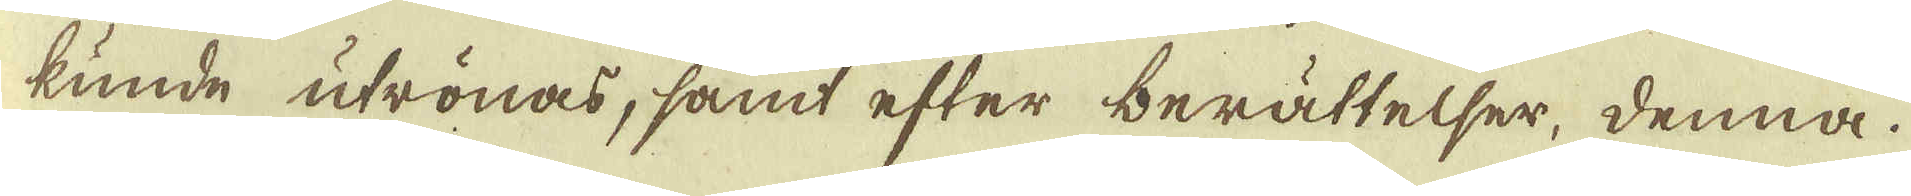kunde utrönas, samt efter berättelser, denna
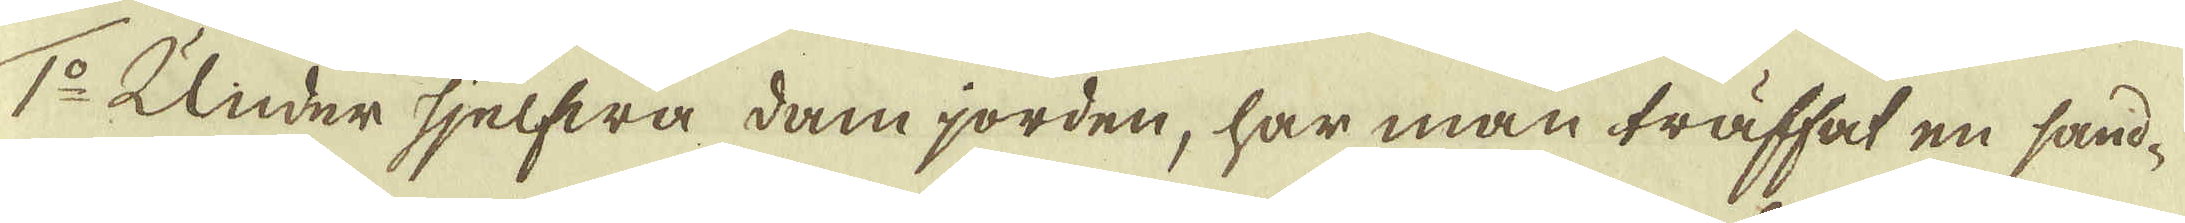1:o Under sjelfwa dam jorden, har man träffat en sand-
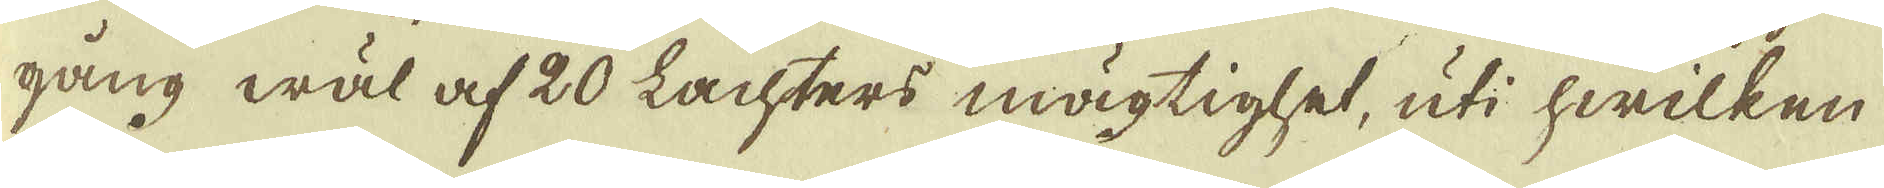gång wäl af 20 Lachters mägtighet, uti hwilken
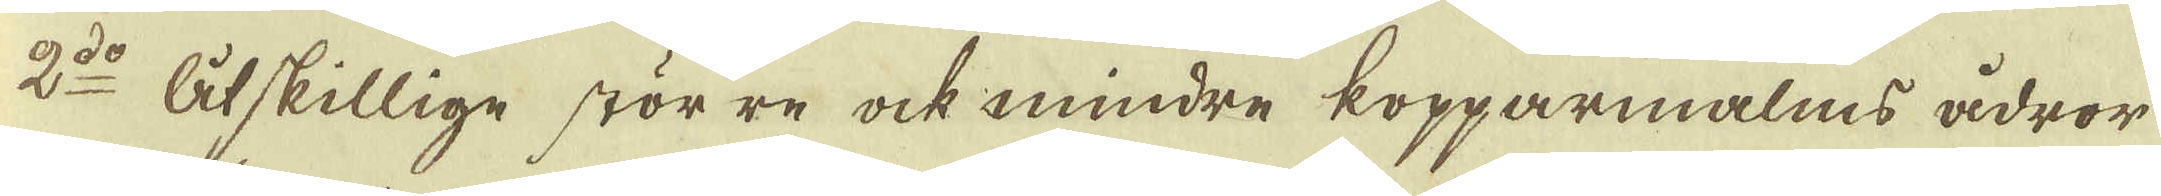2:do Åtskillige större ock mindre kopparmalms ådror
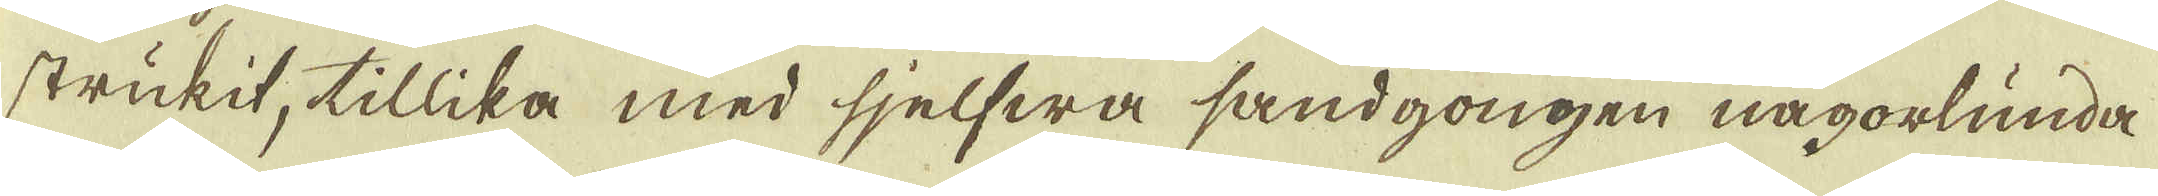strukit, tillika med sjelfwa sandgongen någorlunda
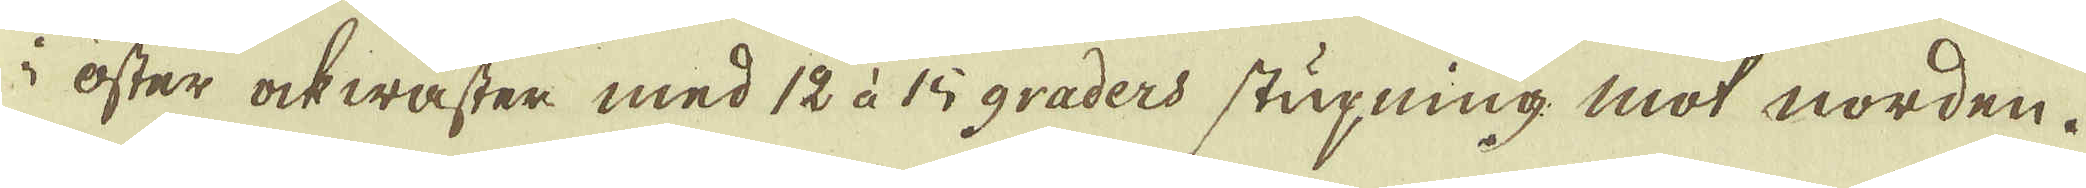i öster ock wäster med 12 à 15 graders stupning mot norden.
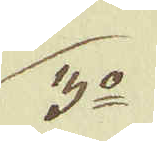3:o
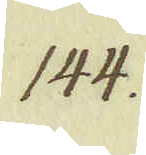144.
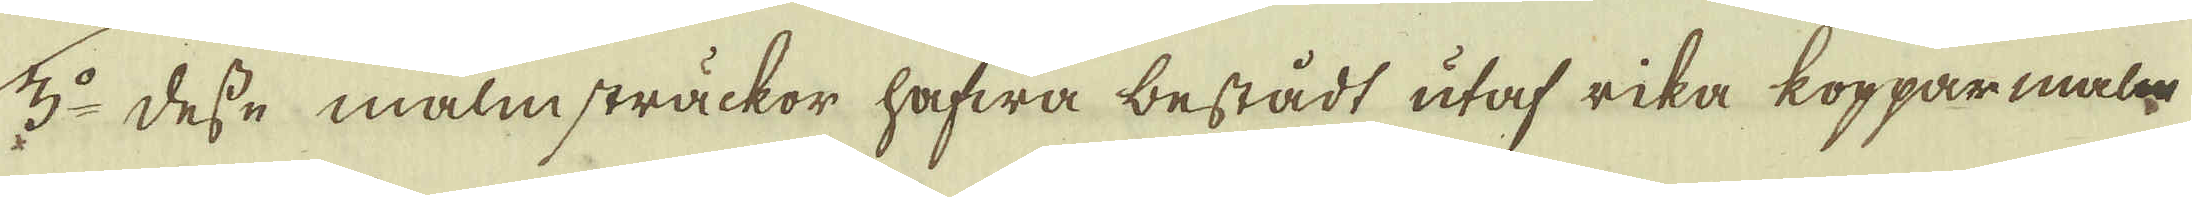3:o desse malmsträckor hafwa bestådt utaf rika kopparmal-
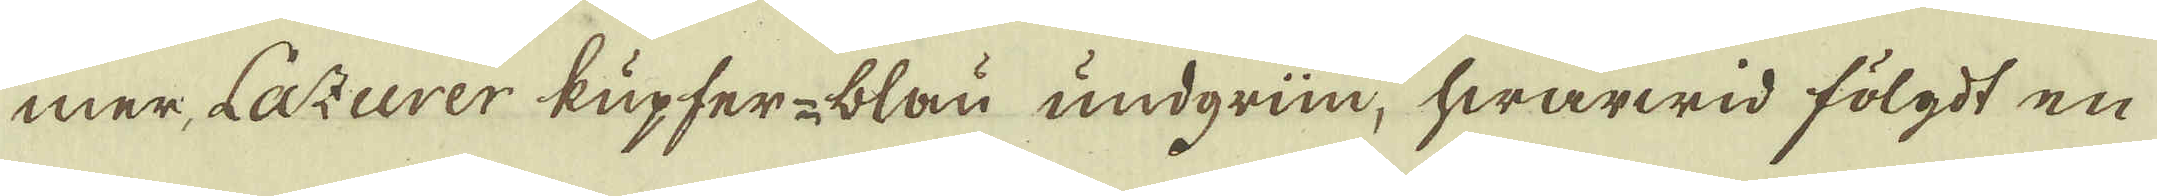mer, Lazurer kupfer-blau und grün, hwarwid fölgdt en
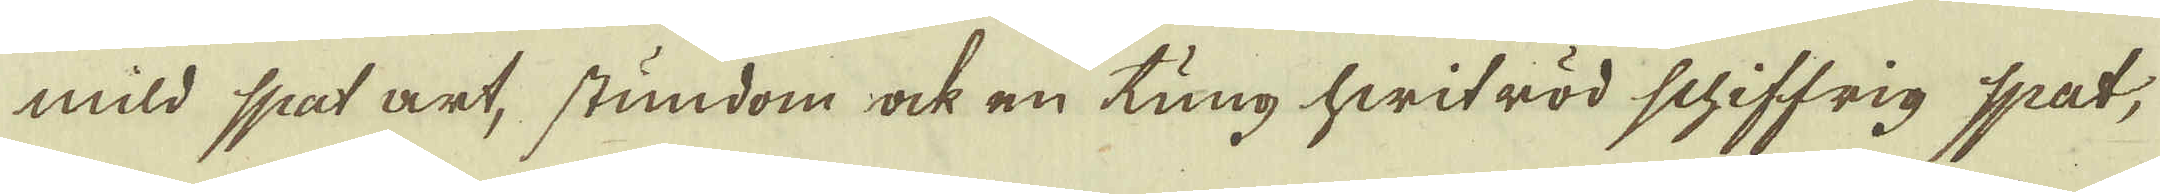mild spat art, stundom ock en tung hwit röd schiffrig spat,
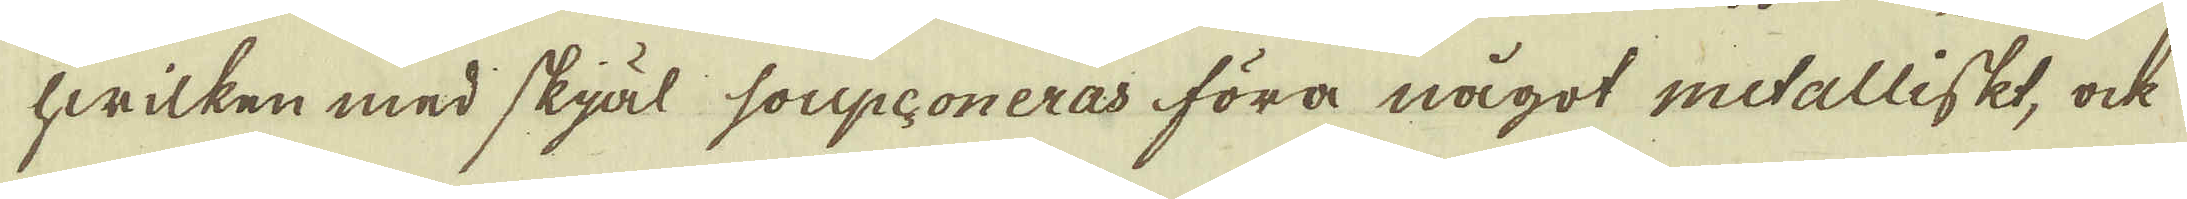hwilken med skjäl soupconeras föra något metalliskt, ock
